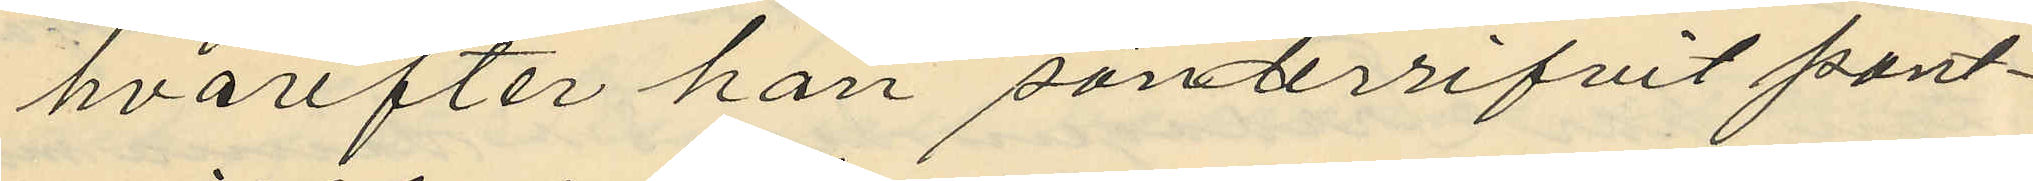hvarefter han sönderrifvit pant¬
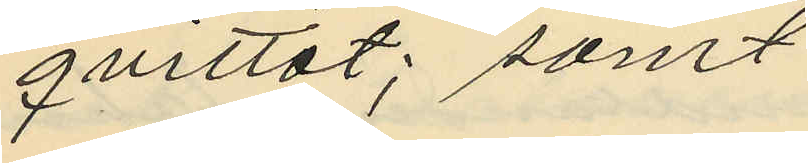qvittot; samt
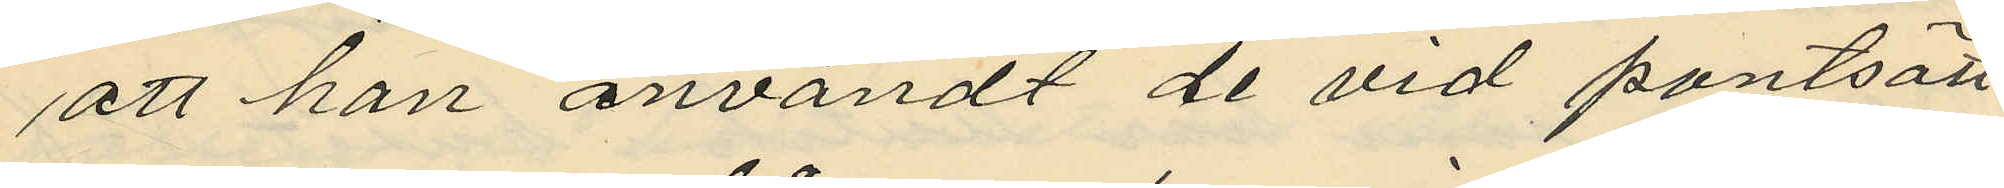att han användt de vid pantsätt¬
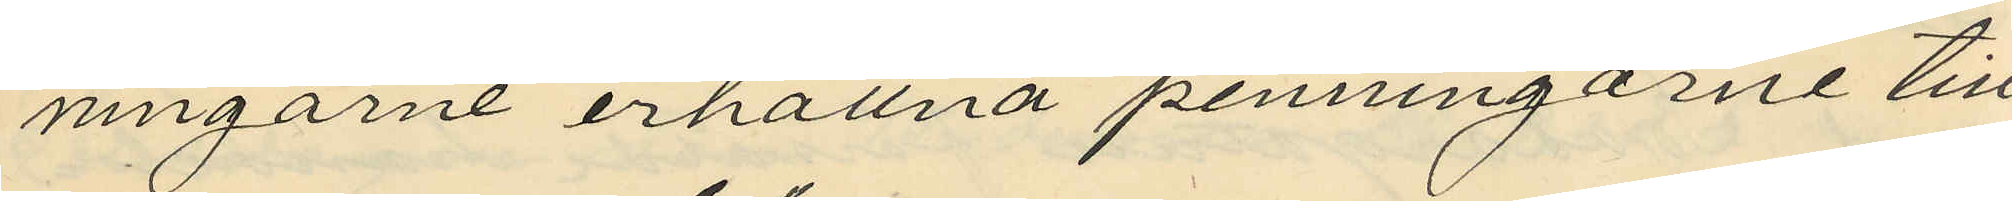ningarne erhållna penningarne till
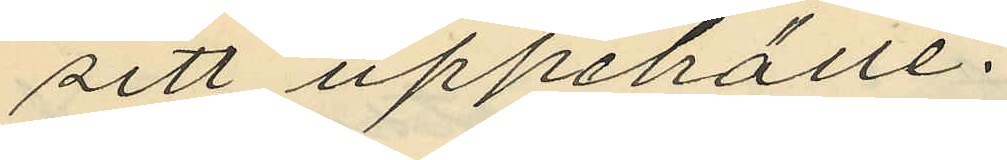sitt uppehälle.
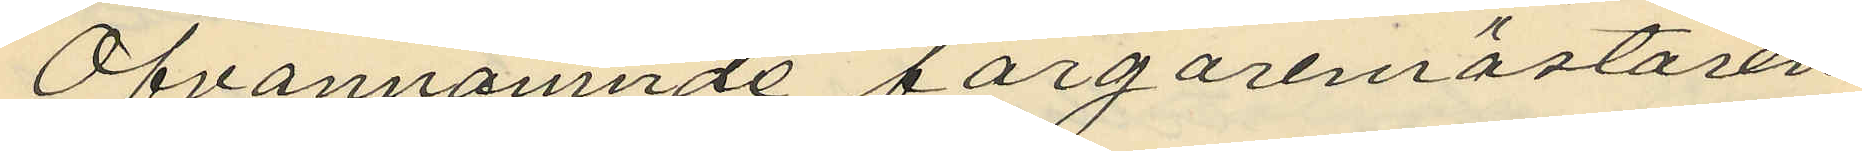Ofvannämnde färgaremästaren
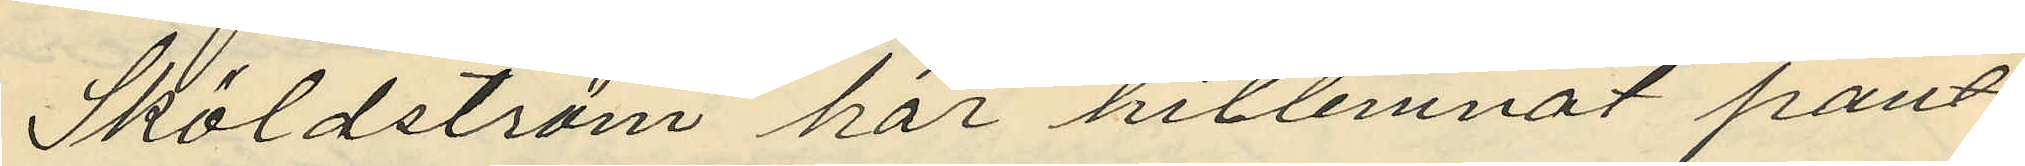Sköldström har hitlemnat pant¬
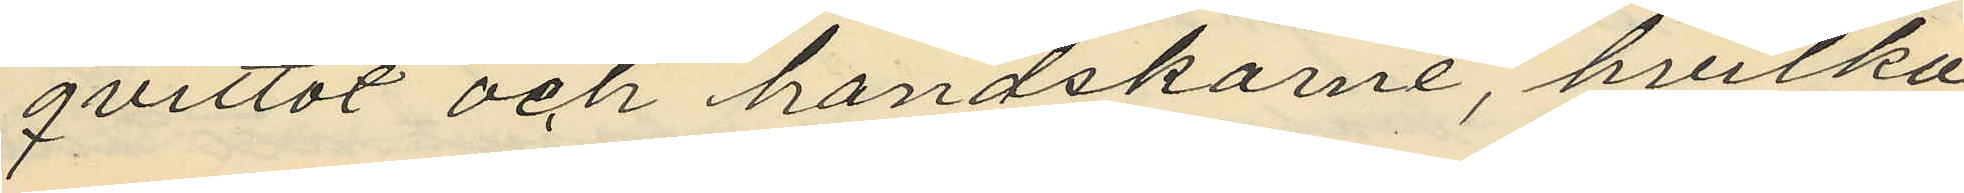qvittot och handskarne, hvilka
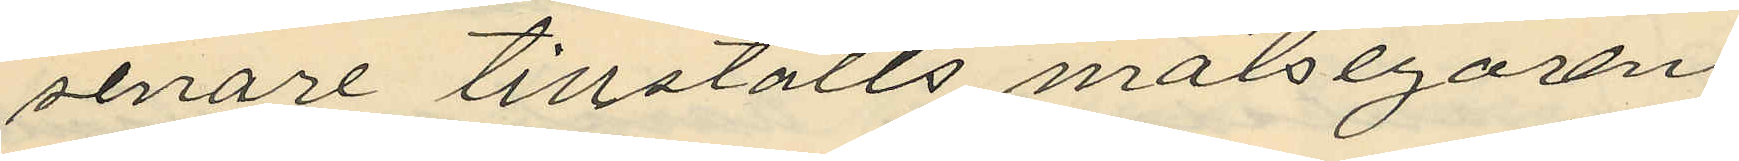senare tillstälts målsegaren.
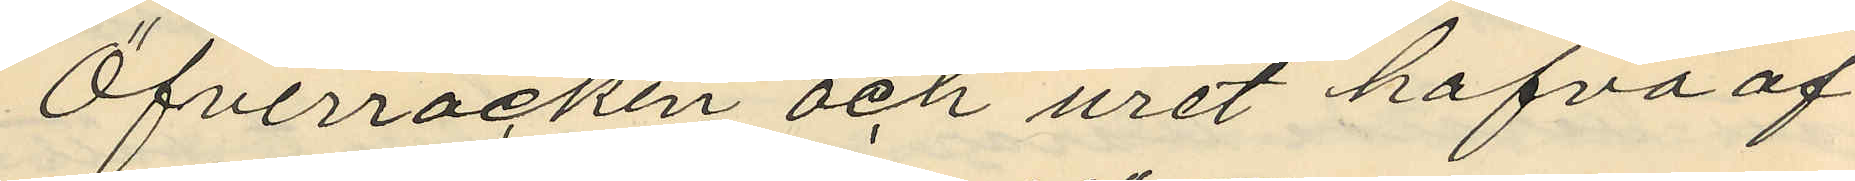Öfverrocken och uret hafva af
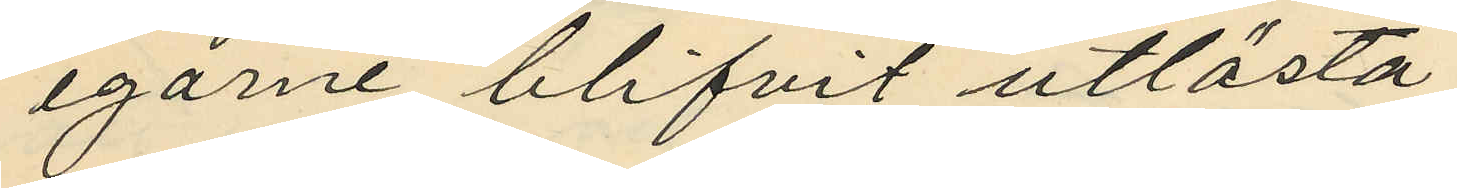egarne blifvit utlösta
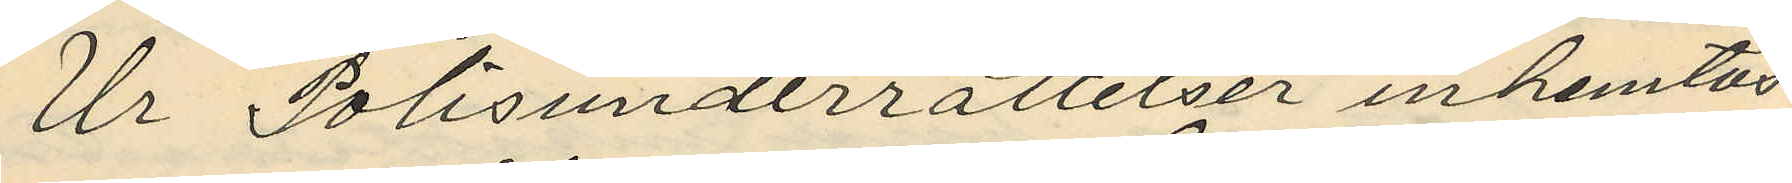Ur Polisunderrättelser inhemtas
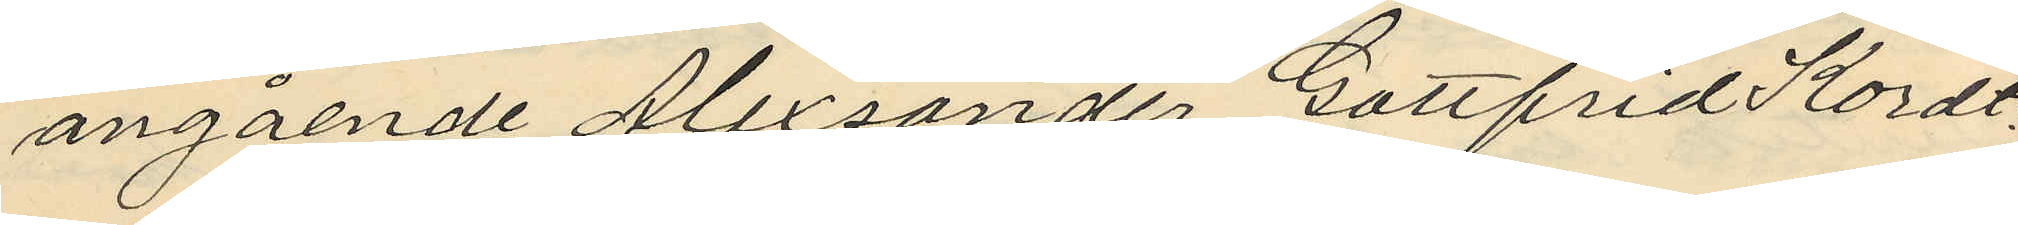angående Alexsander Gottfrid Kordt,:
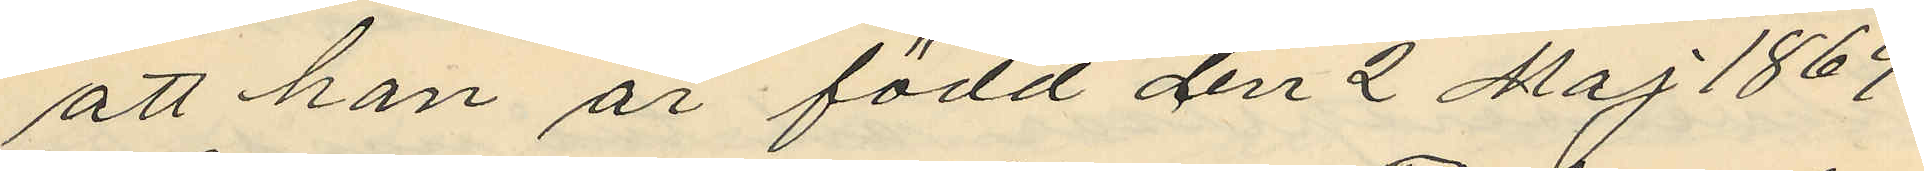att han är född den 2 Maj 1869
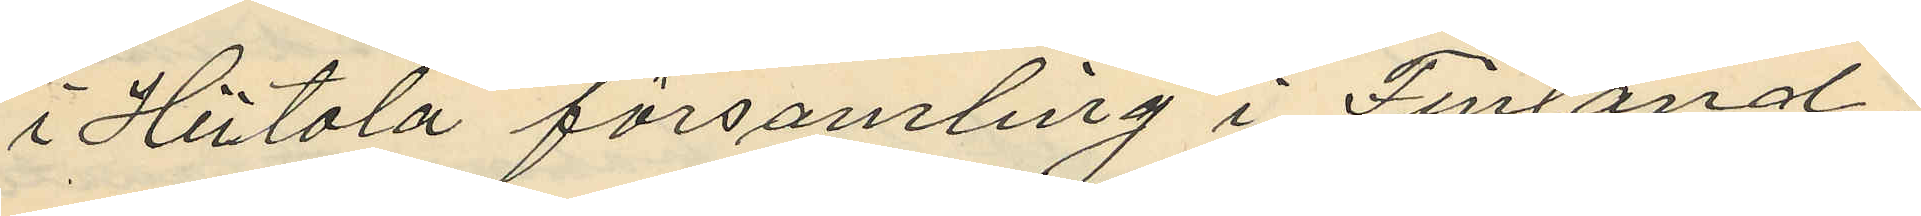i Hiitola församling i Finland;
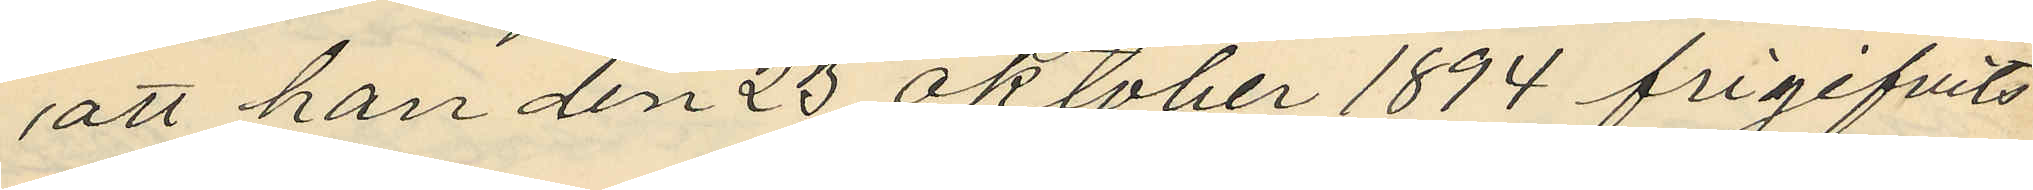att han den 23 Oktober 1894 frigifvits
